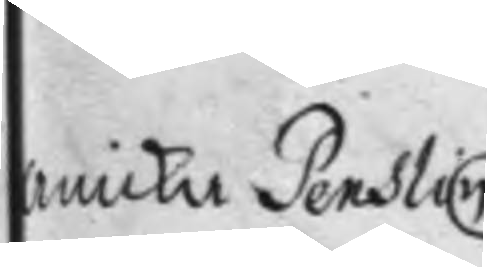Anicka Penslin
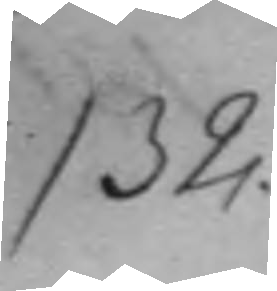132.
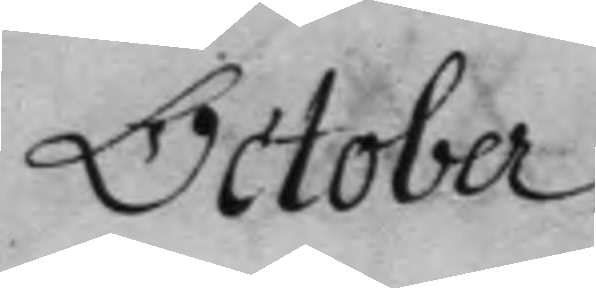October
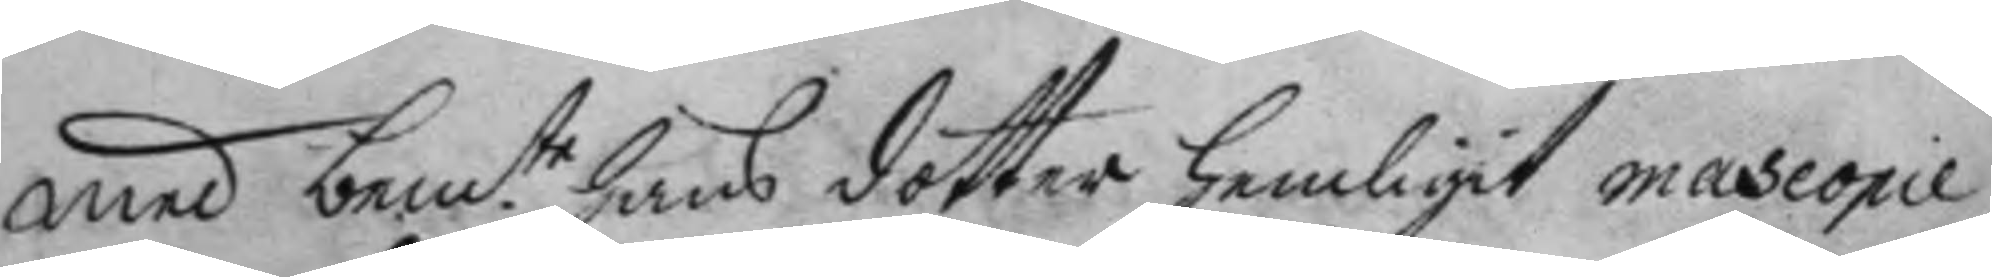med bem.te hans dotter hemligit mascopie
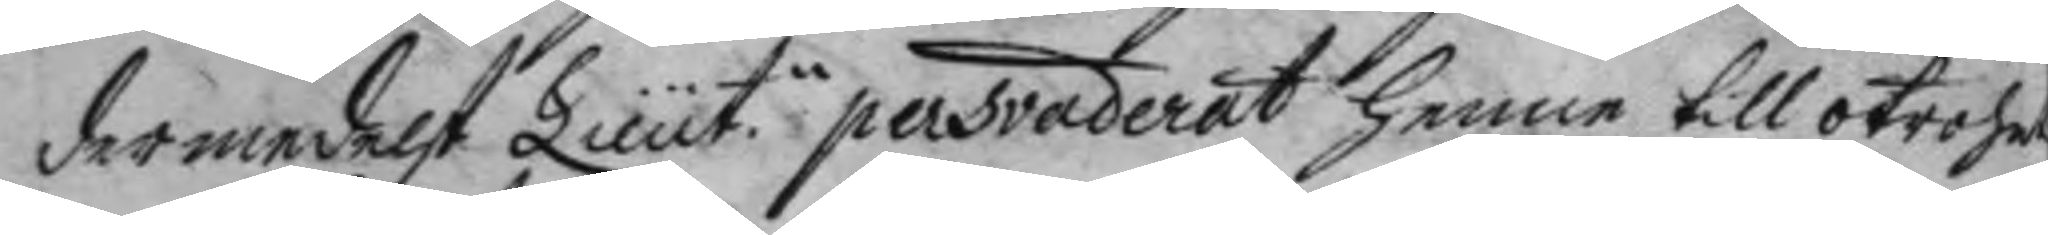dermedelst Lieut.n persvaderat henne till otrohet
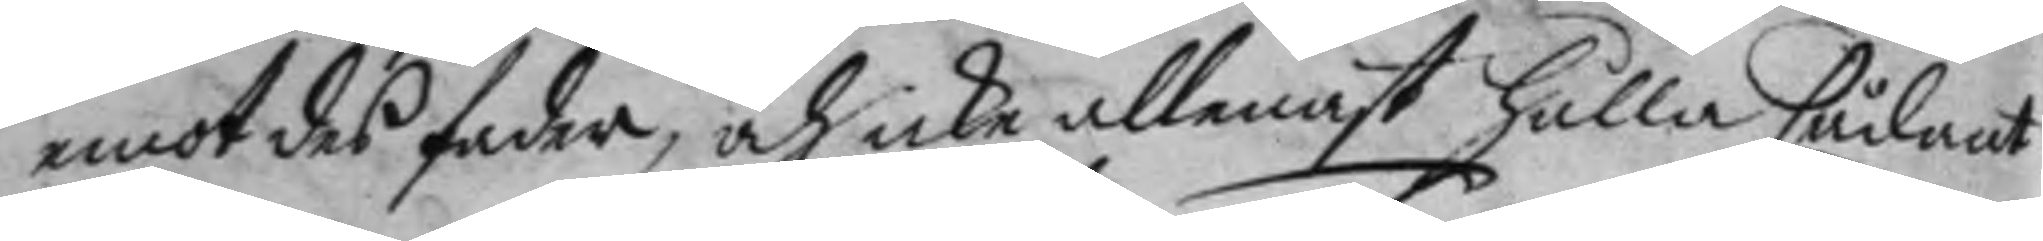emot des fader, och icke allenast hålla sådant
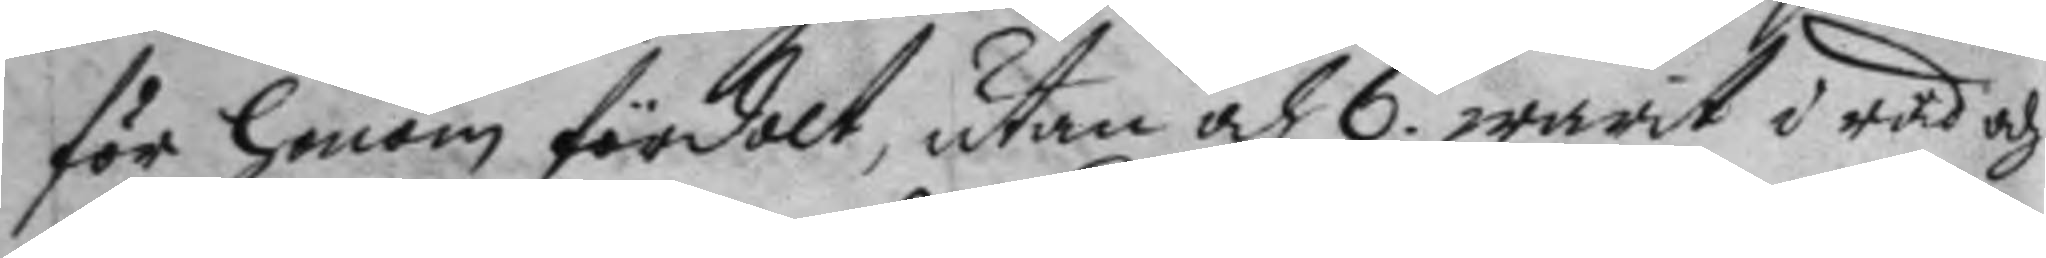för honom fördolt, utan och 6. warit i råd och
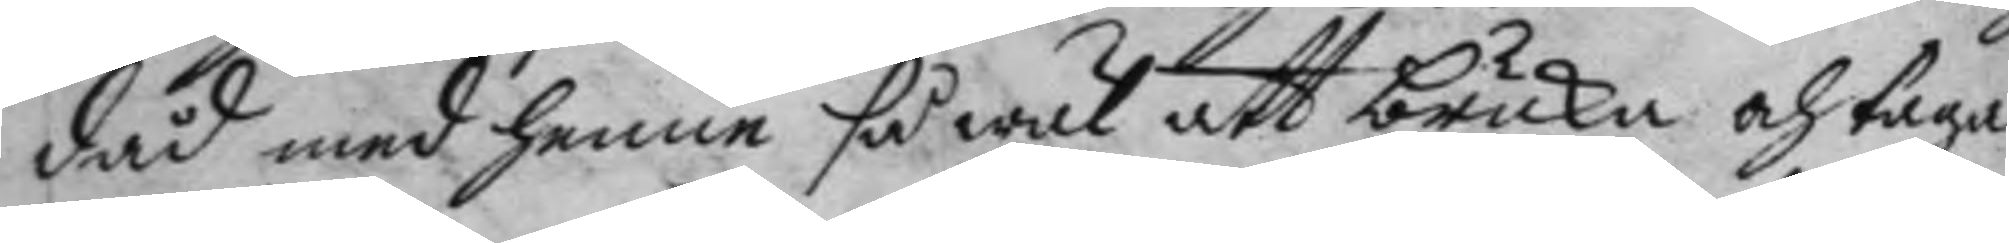dåd med henne så wäl att bruka och taga
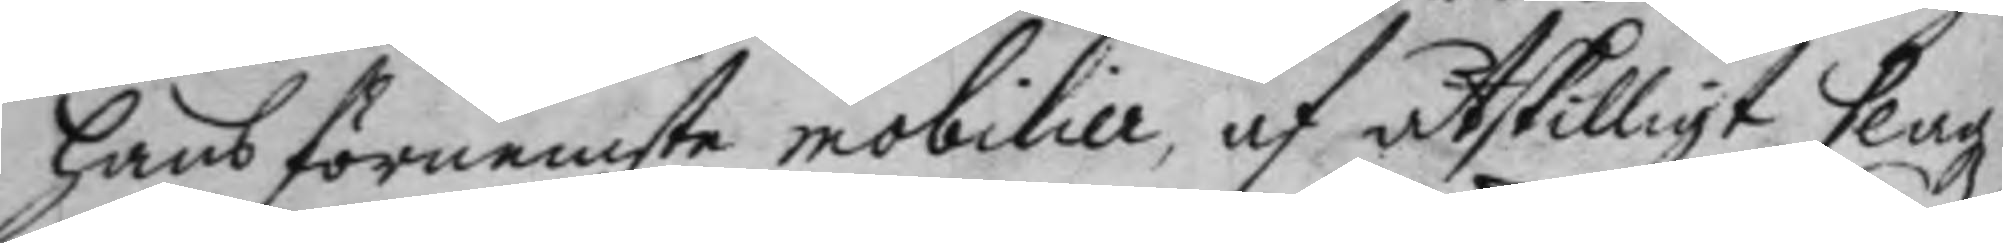hans förnemste mobilier, af åtskilligt slags
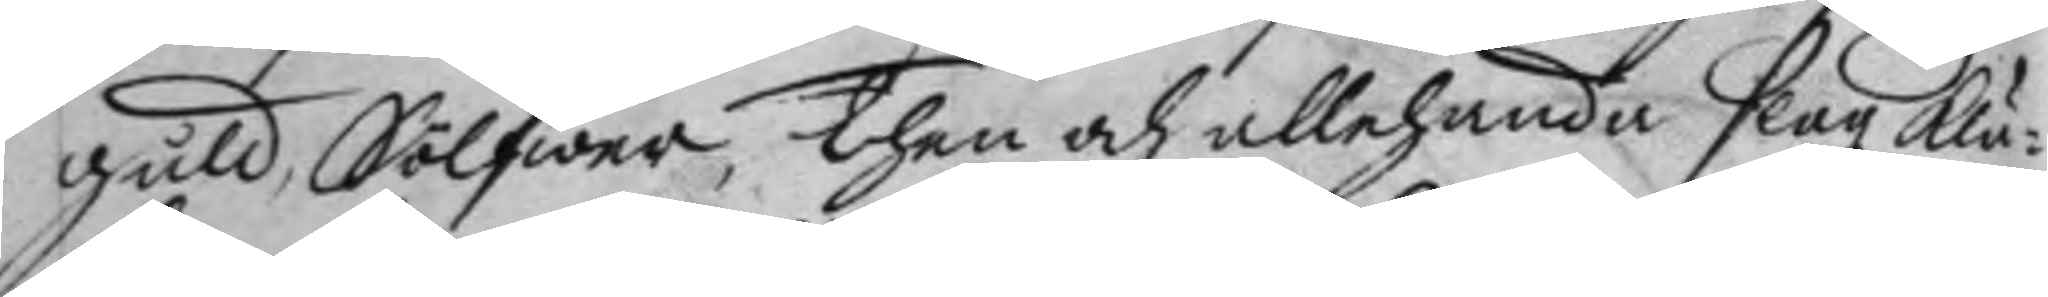guld, Sölfwer, then och allehanda slagz klä¬
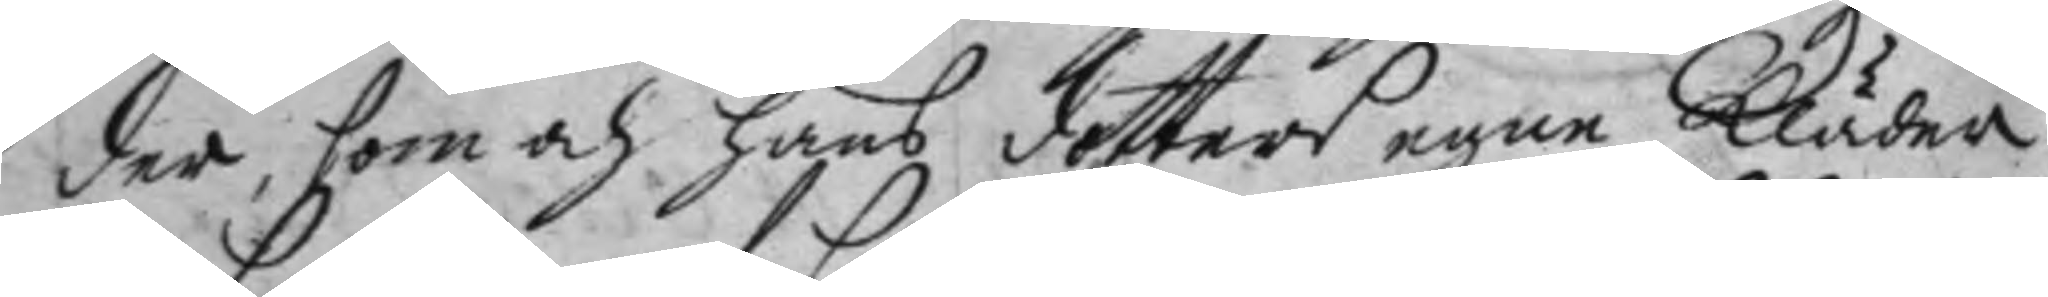der, som och hans dotters egne kläder
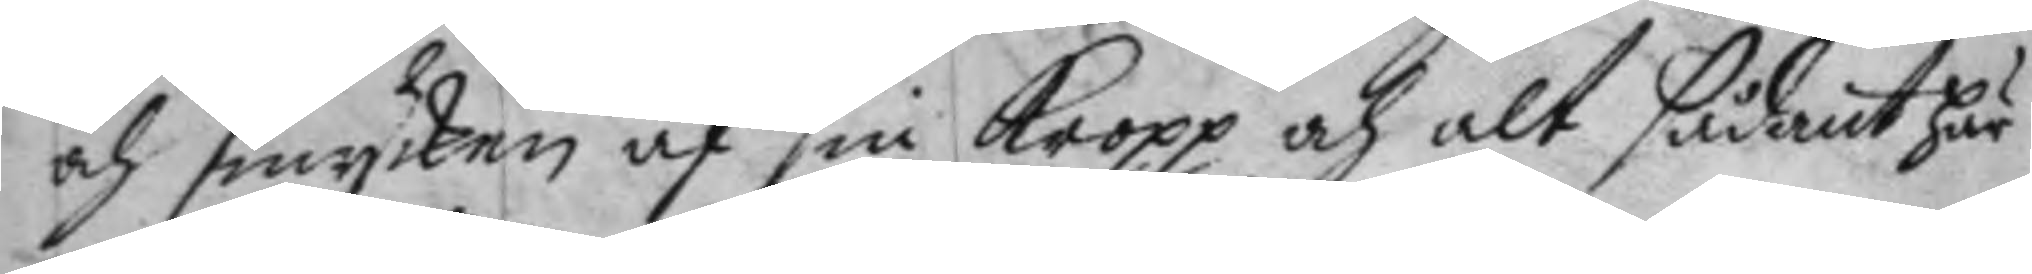och smycken af sin kropp och alt sådant här
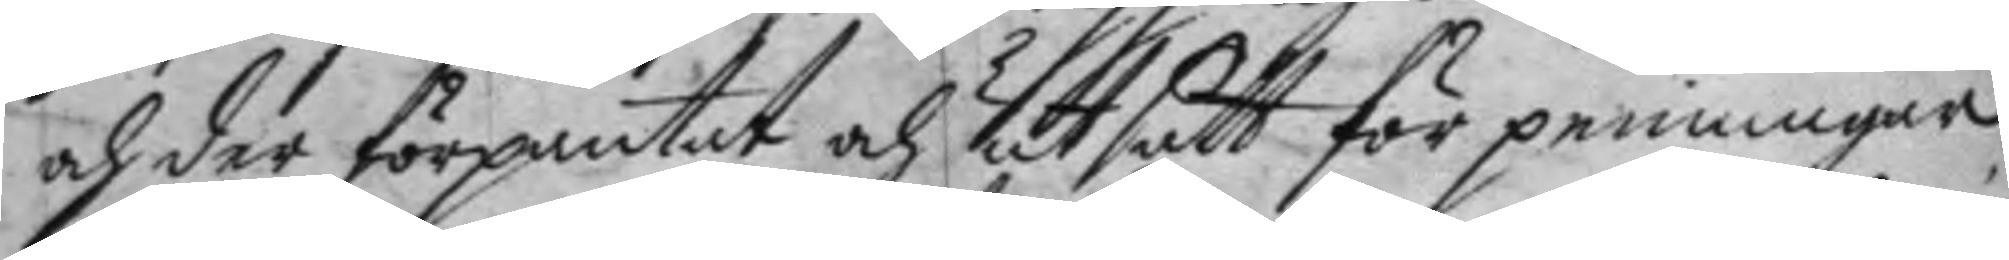och der förpantat och utsatt för penningar
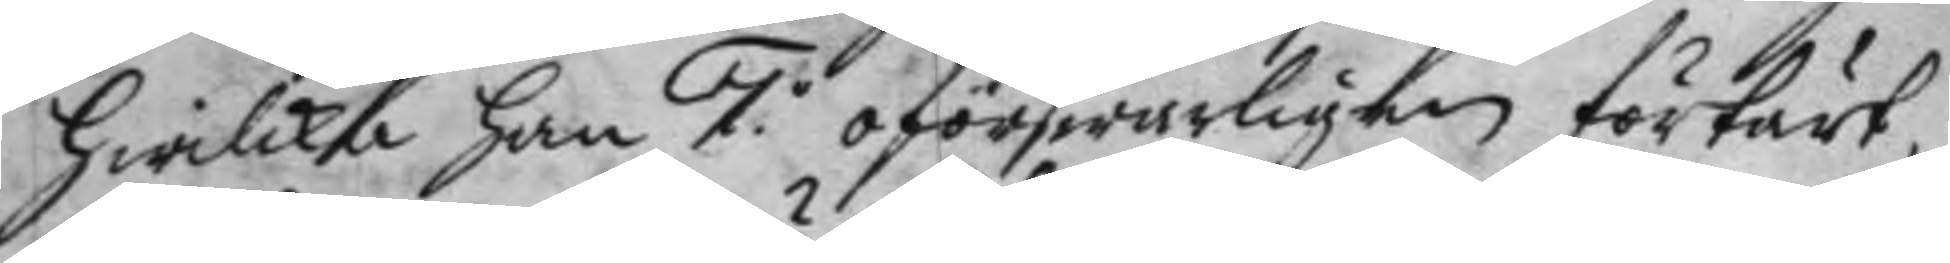hwilka han 7.o oförswarligen förtärt
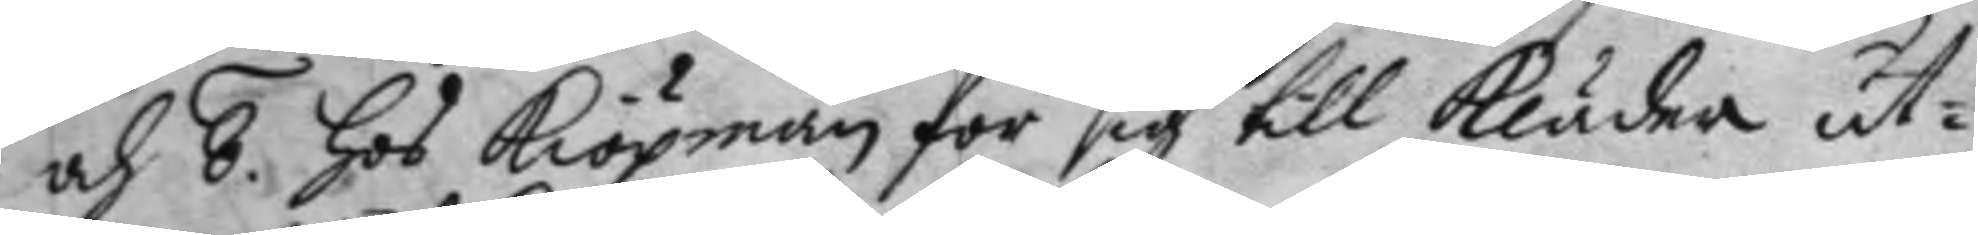och 8. hos kiöpmän för sig till kläder ut¬
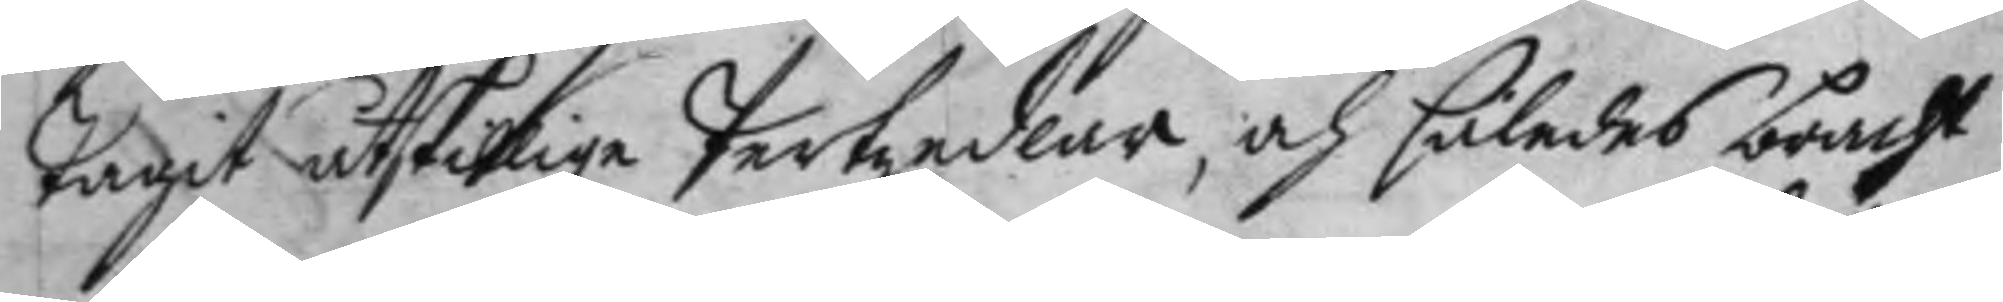tagit åtskillige Pertzedlar, och således bracht
